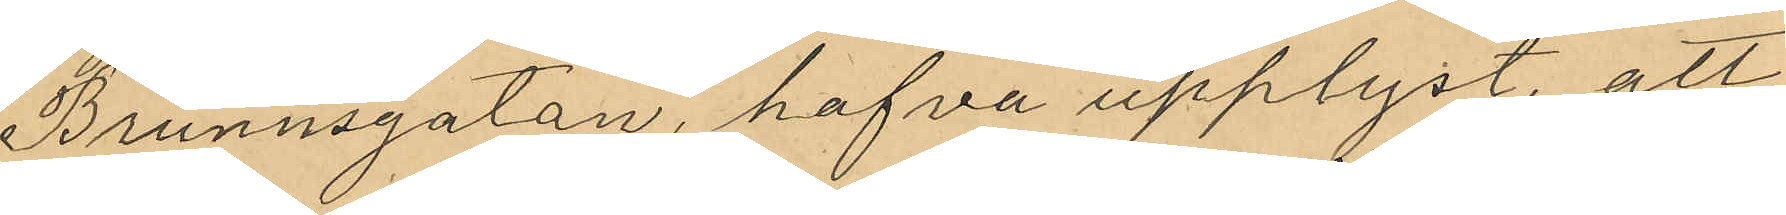Brunnsgatan, hafva upplyst, att
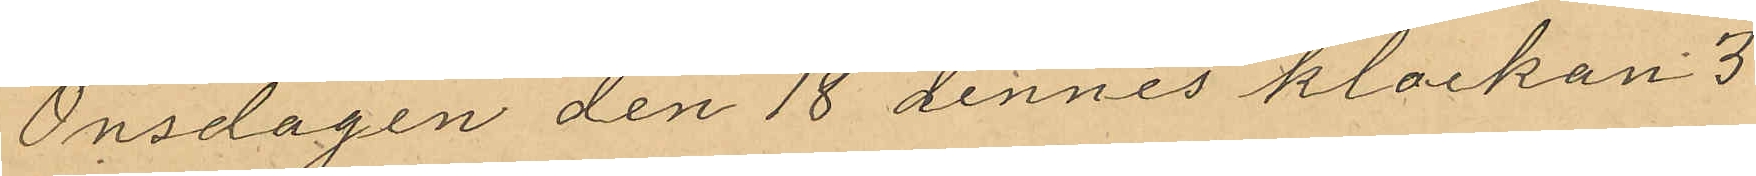Onsdagen den 18 dennes klockan 3
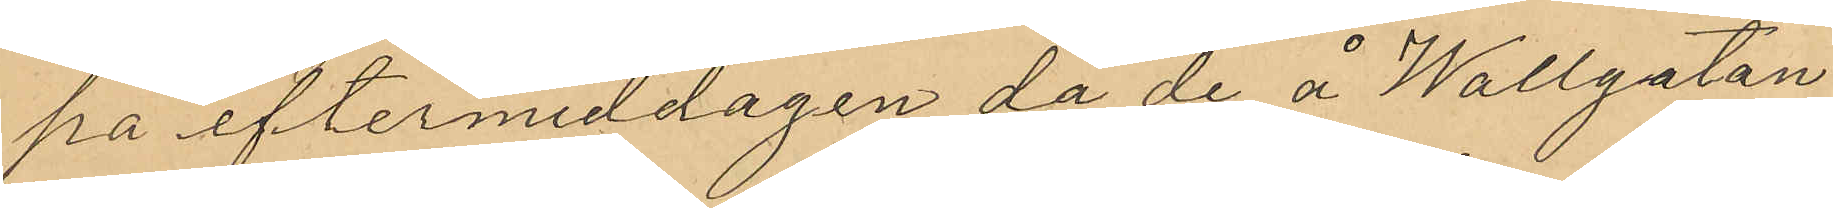på eftermiddagen då de å Wallgatan
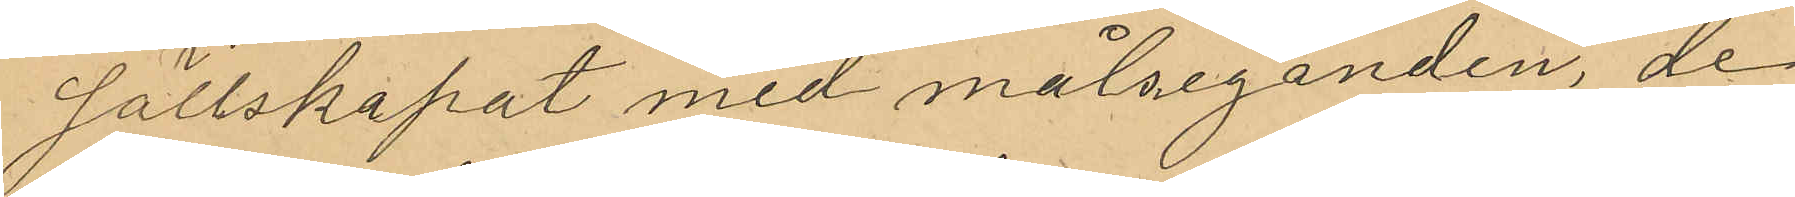sällskapat med målseganden, de
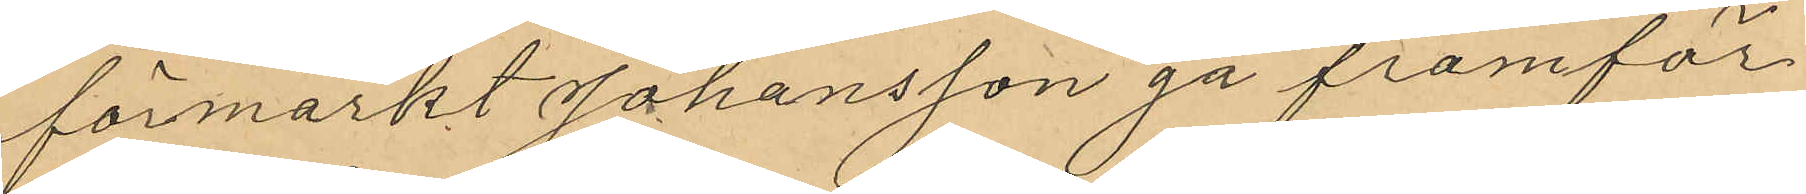förmarkt Johansson gå framför
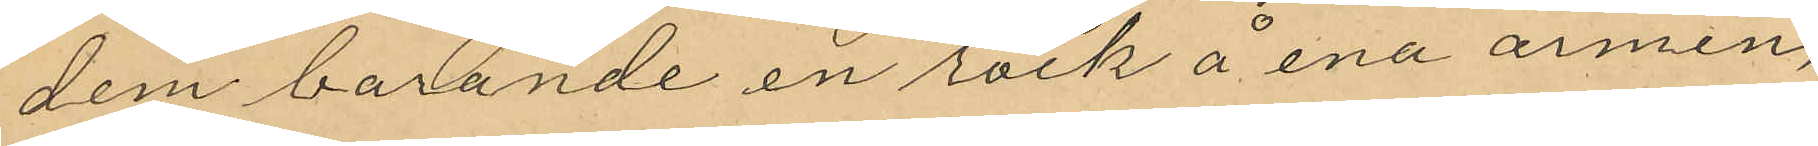dem barande en rock å ena armen,
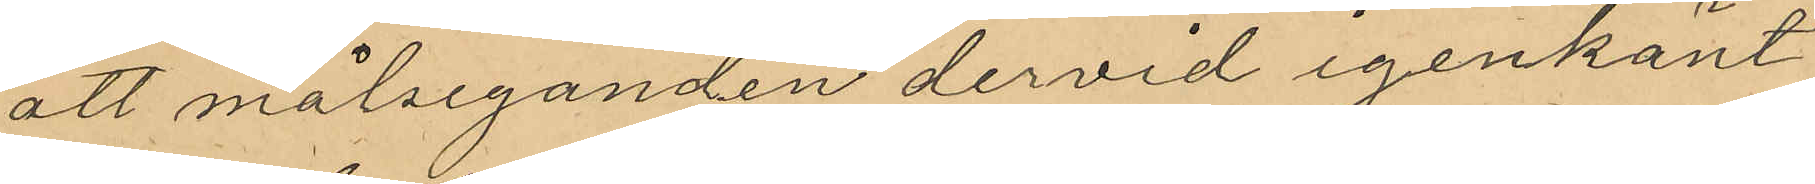att målseganden dervid igenkänt
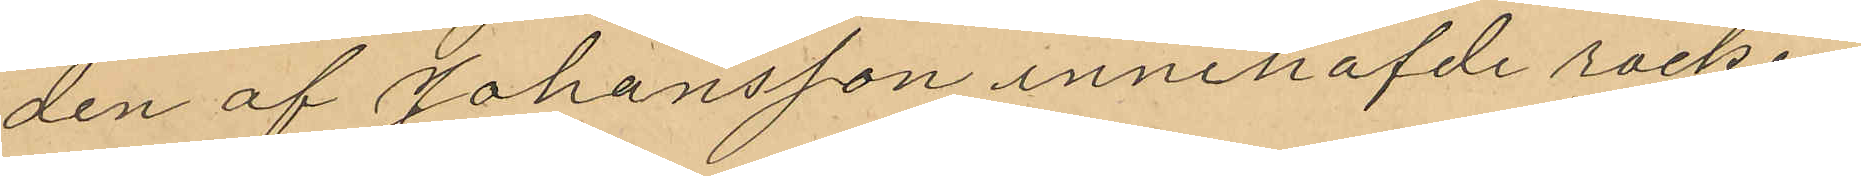den af Johansson innehafde rocken
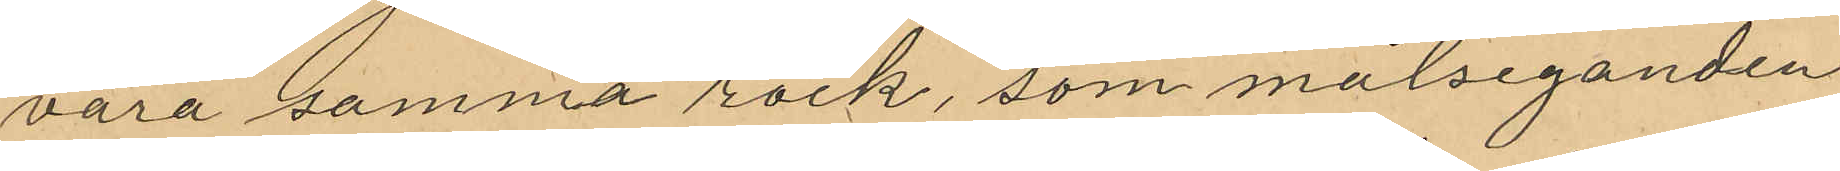vara samma rock, som målseganden
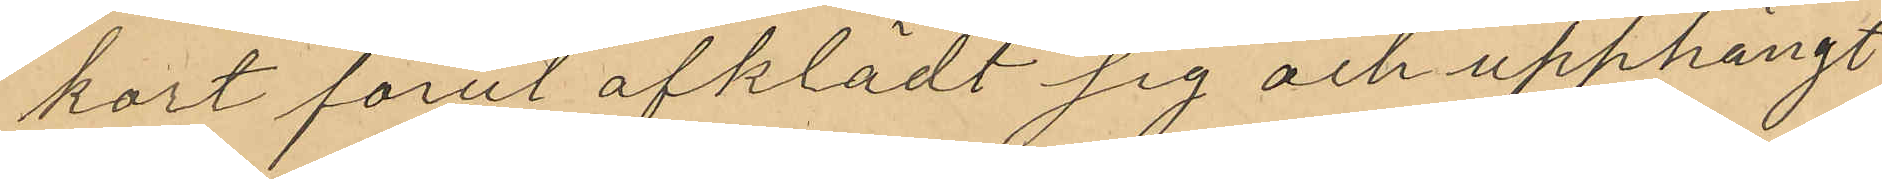kort förut afklädt sig och upphängt
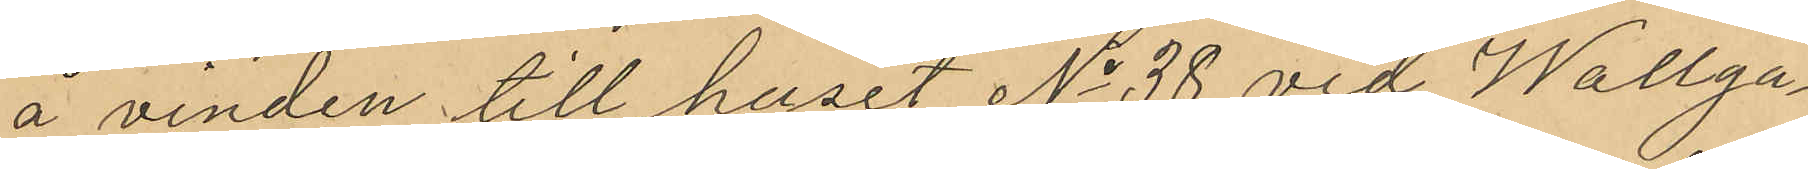å vinden till huset No 38 vid Wallga¬
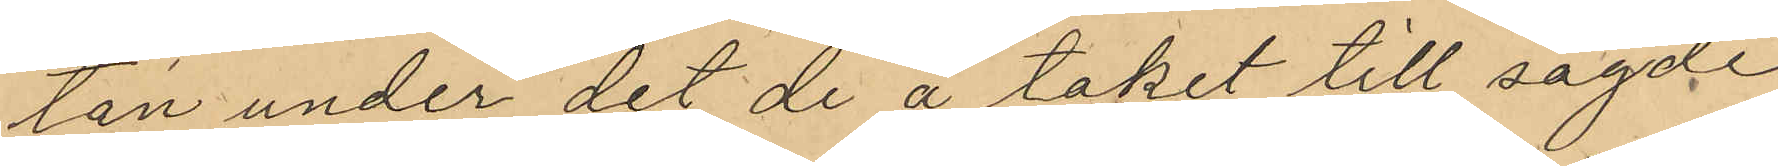tan under det de å taket till sagde
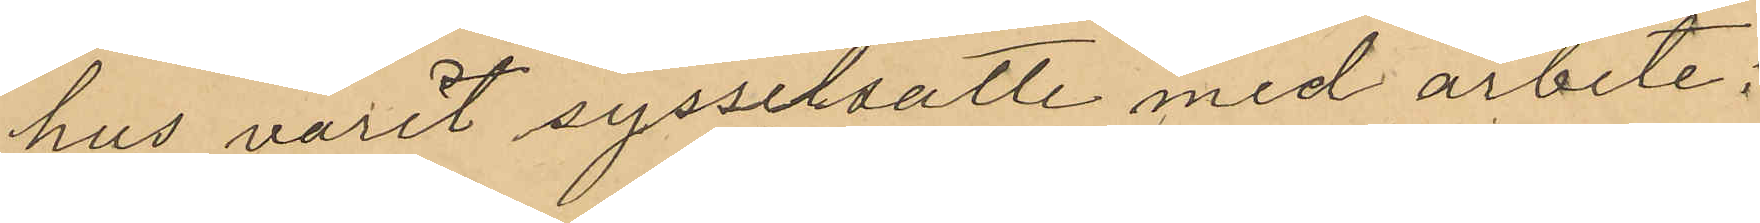hus varit sysselsatte med arbete;
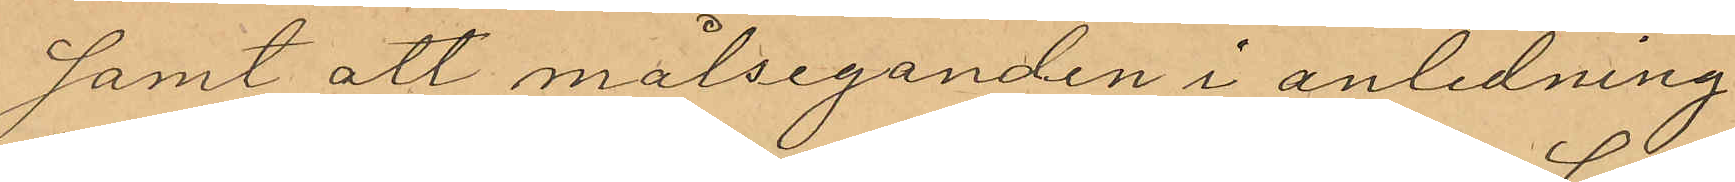samt att målseganden i anledning
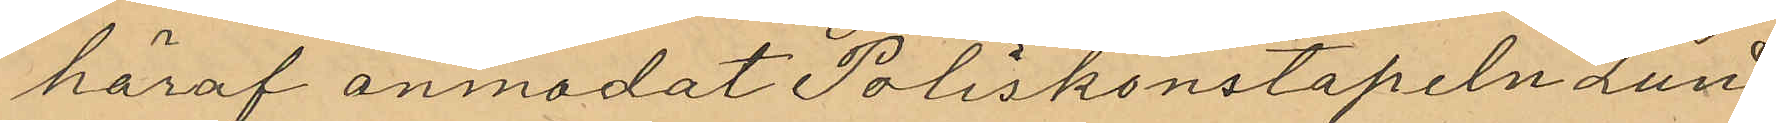häraf anmodat Poliskonstapeln Lund
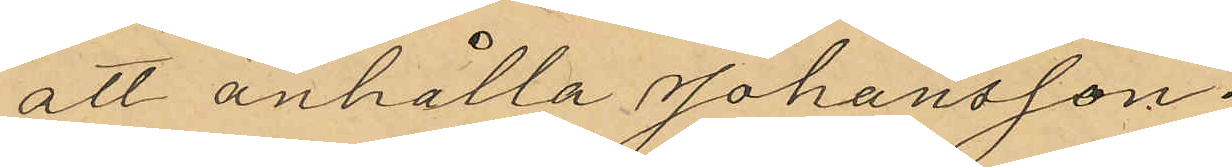att anhålla Johansson.
